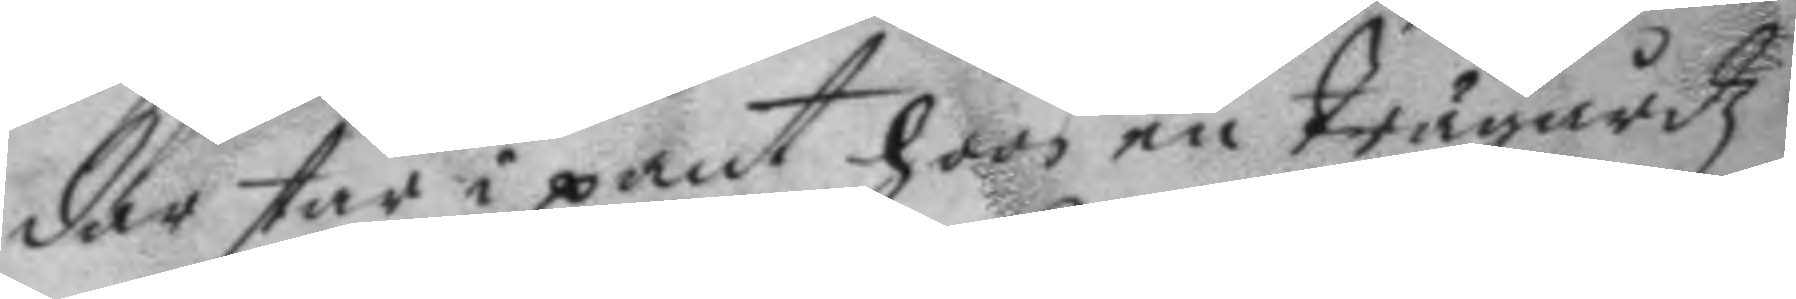dar står i pant hoos en trägårdz
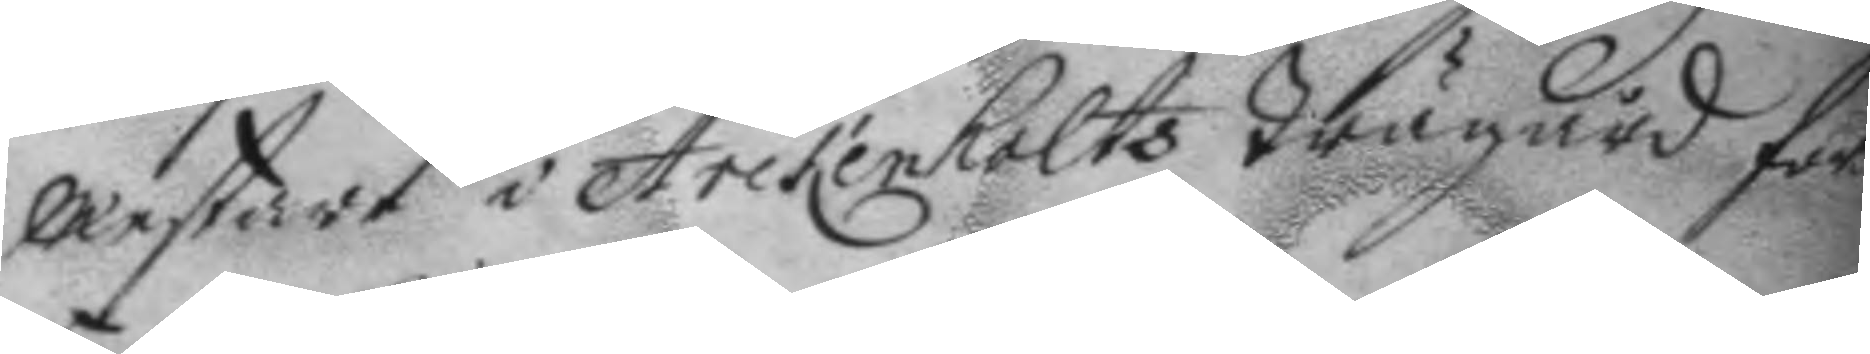Mestare i Arckenholts trägård för¬
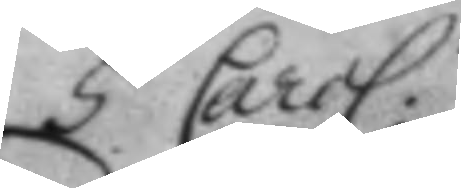5 Carol.
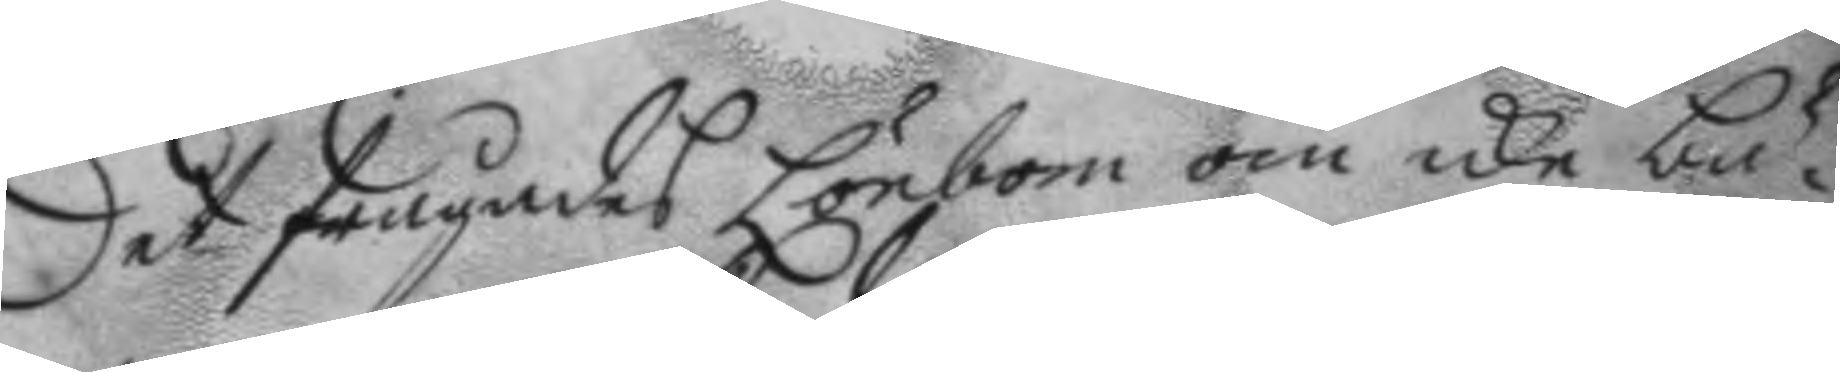Det frågades Lönbom om icke bä¬
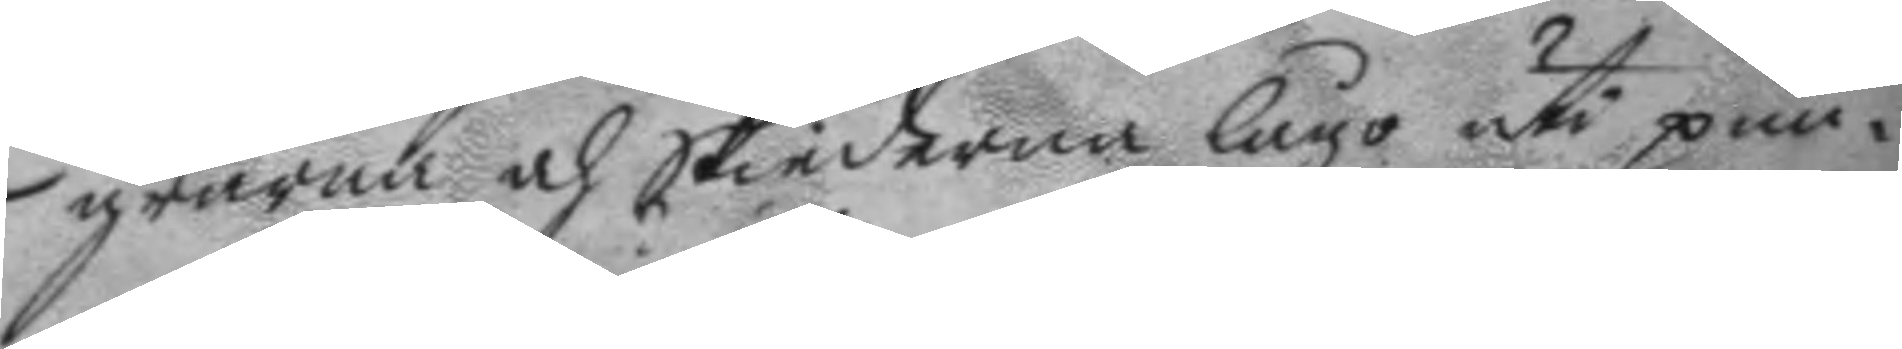grarna och skiederna lågo uti pun¬
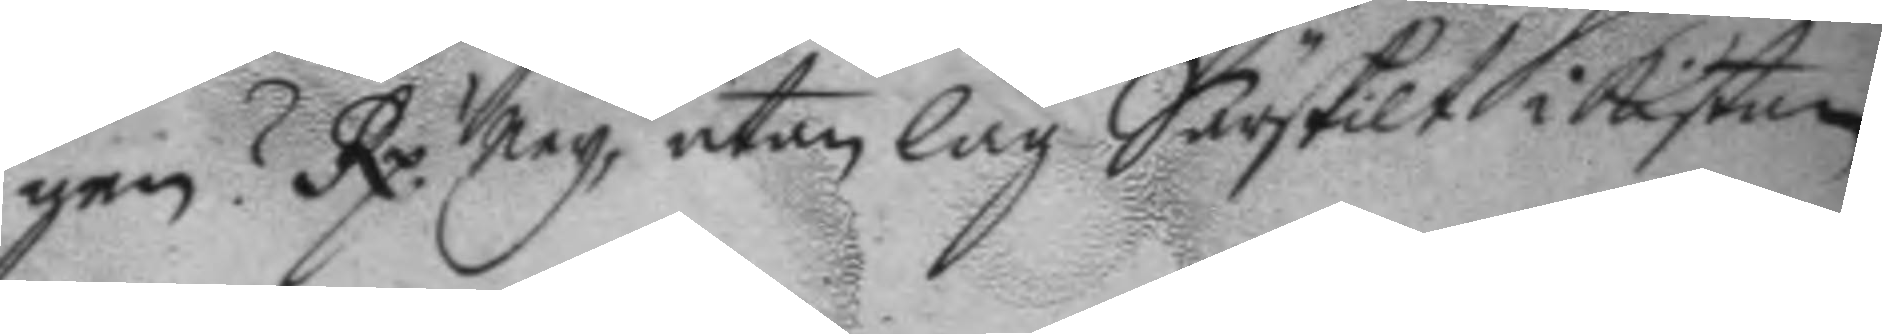gen? Rp. Ney, utan låg Särskilt i kistan
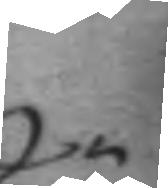Q.n
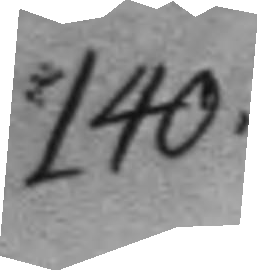140.
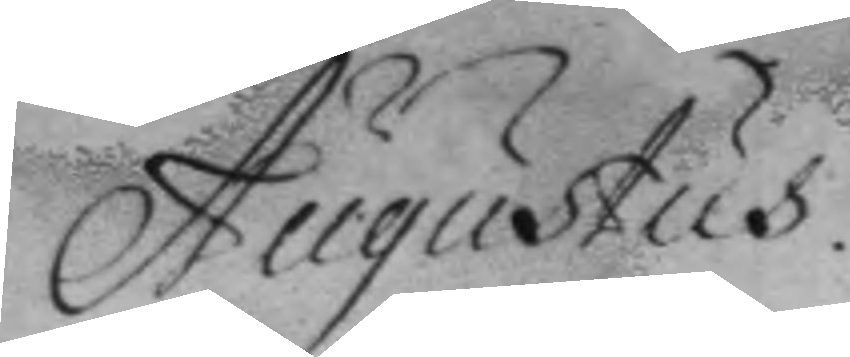Augustus
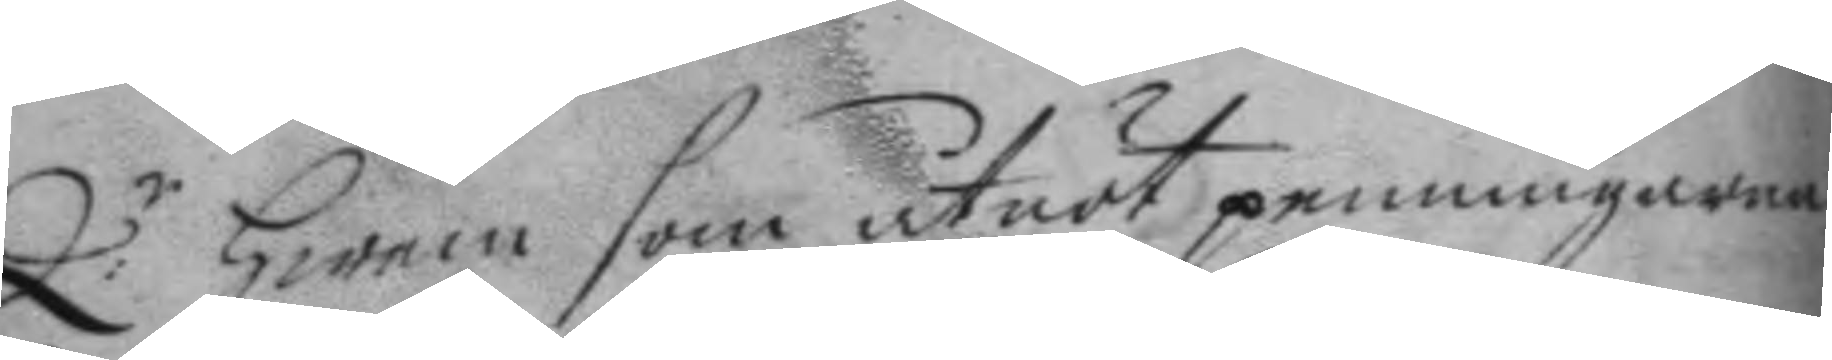Q:r hwem som utnöt penningarna
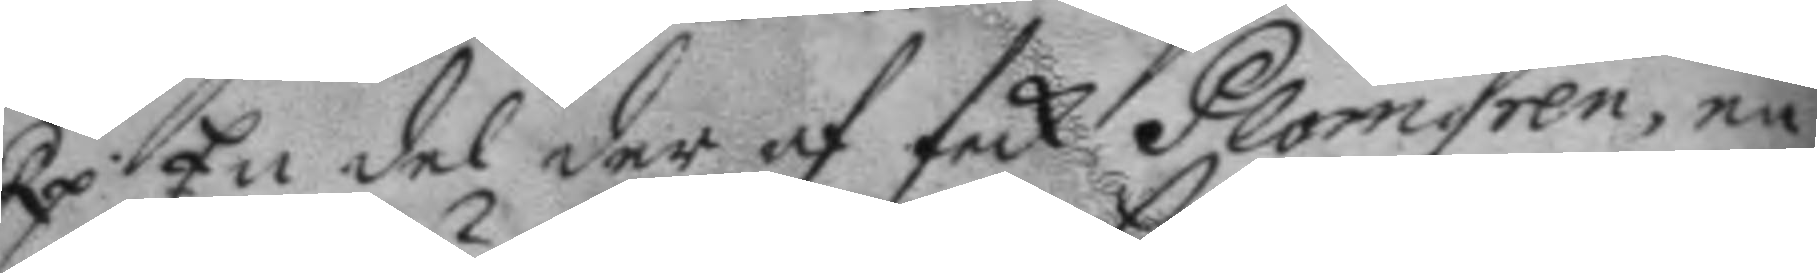Rp. En del der af feck Plomgren, en
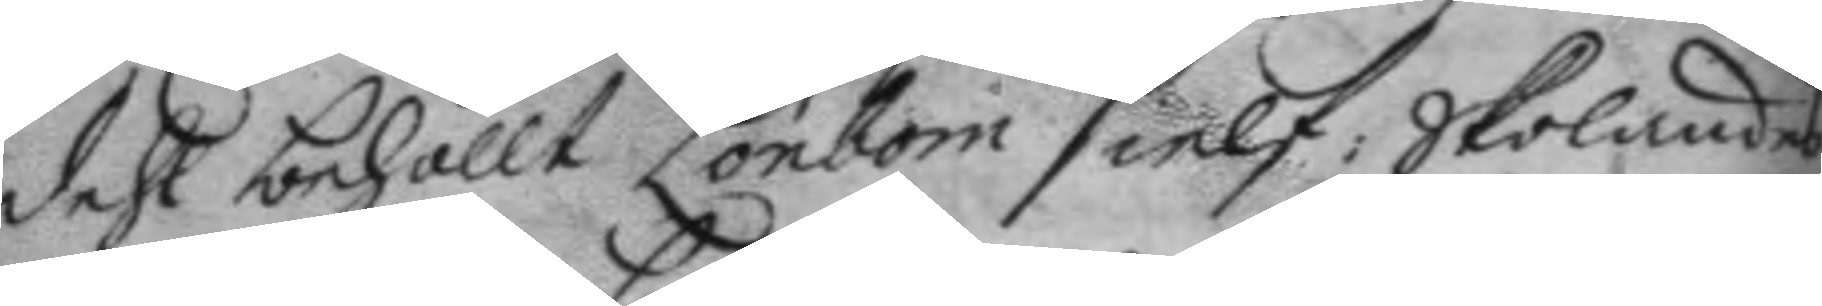dehl behöllt Lönbom sielf: Skolandes
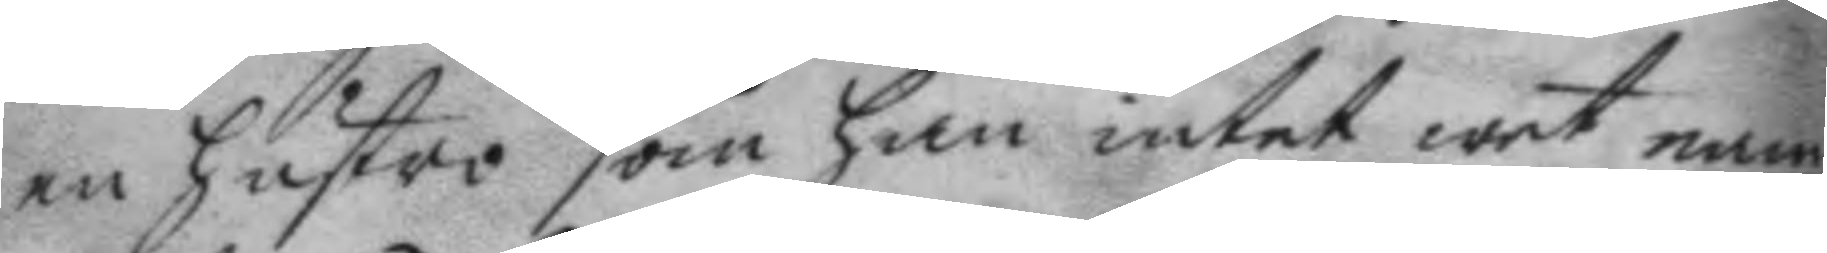en hustro som han intet wet nam¬
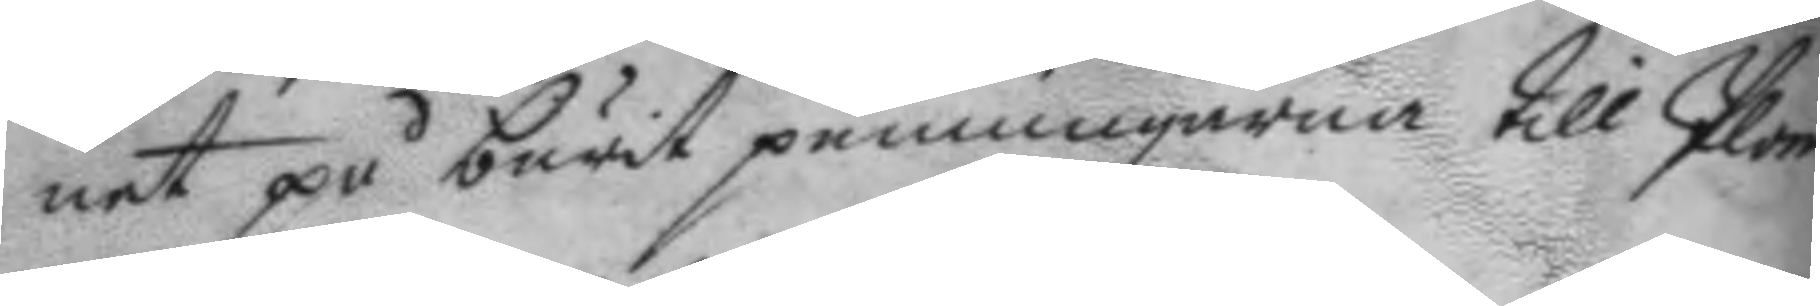net på burit penningarna till Plom¬
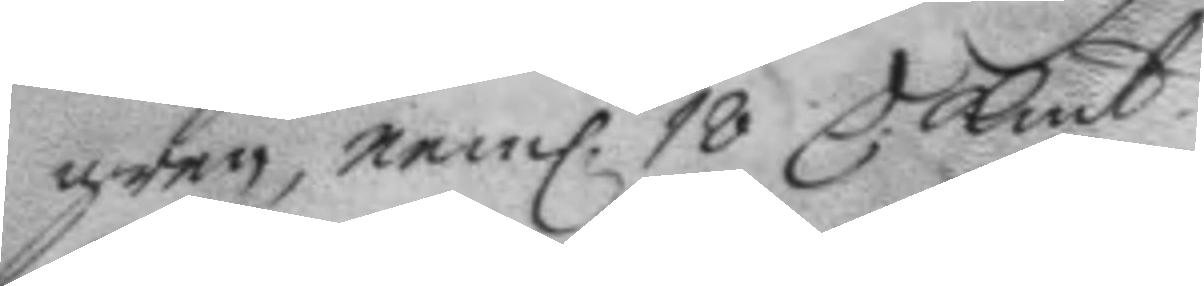gren, neml. 18 C Kmt.
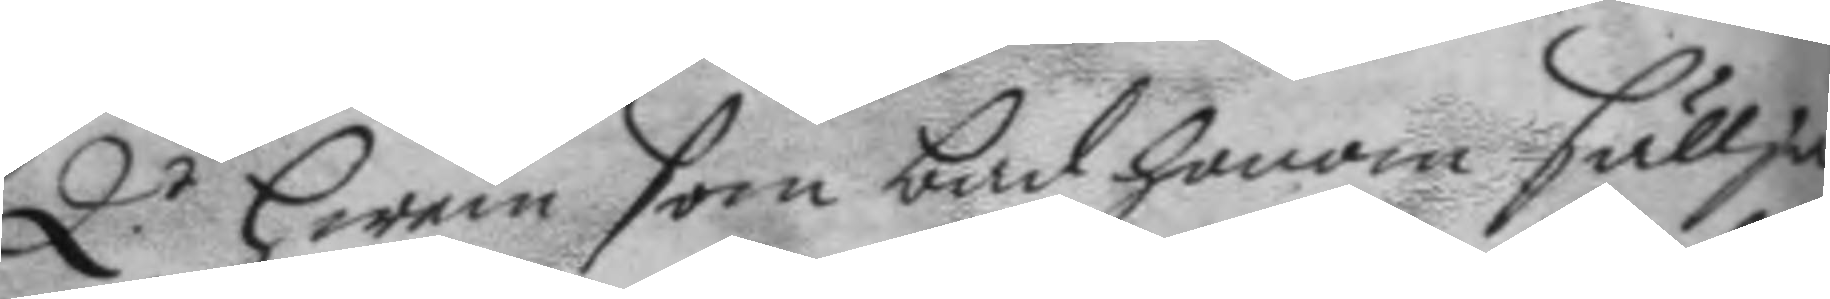Q.r hwem som bad honom sällja
